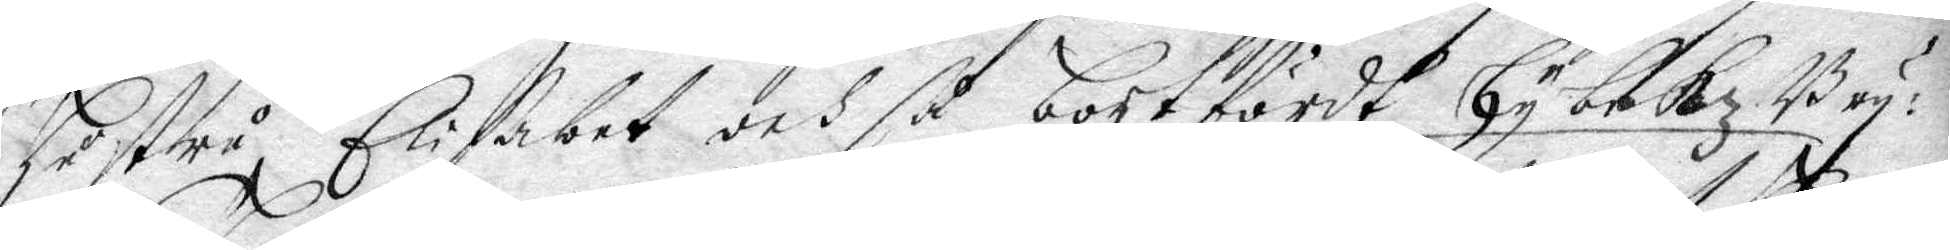hustru Elisabet och så bortfördt hybekz Bry¬
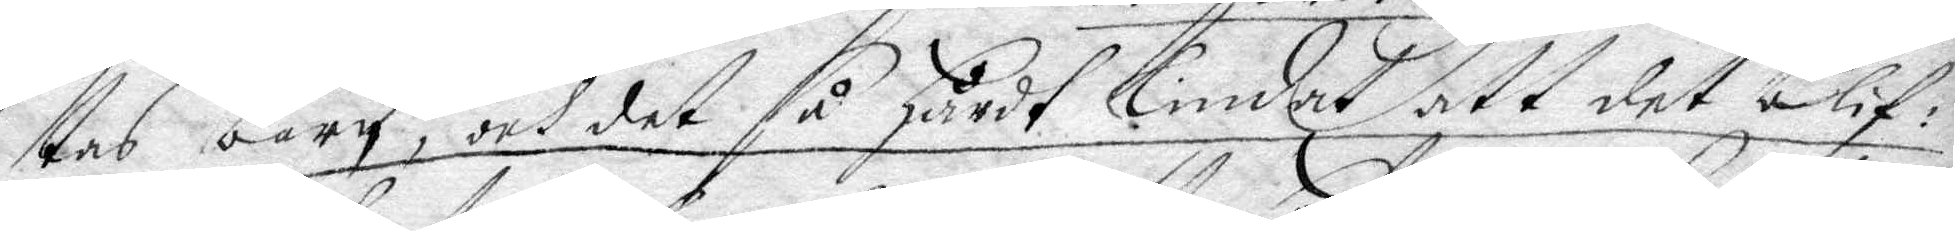tas barn, och det så hårdt lindat att det blif¬
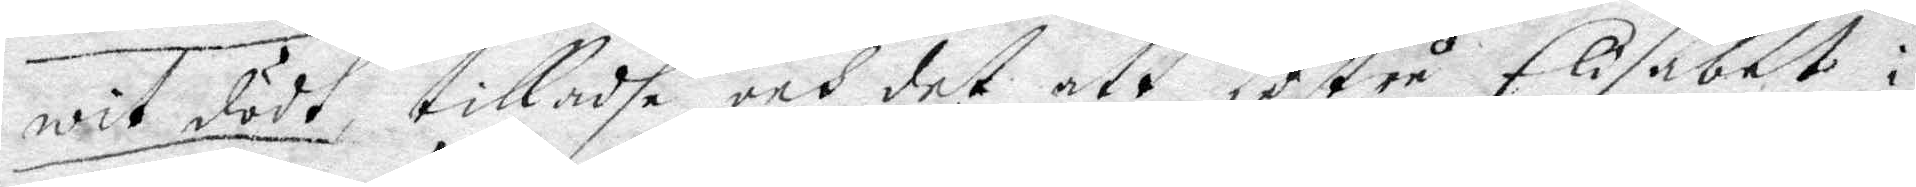wit dödt, tilladhe och det att hustru Elisabet i
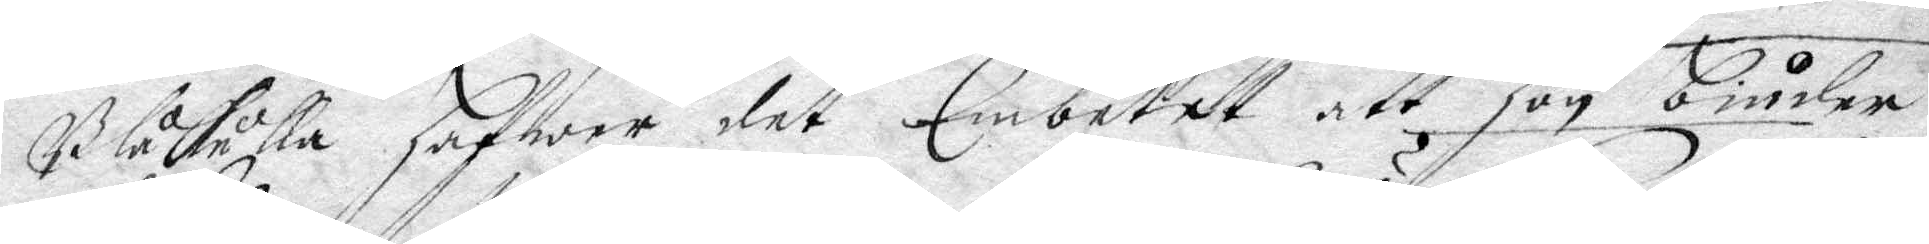Blåkulla hafwer det Embetet att hon biuder
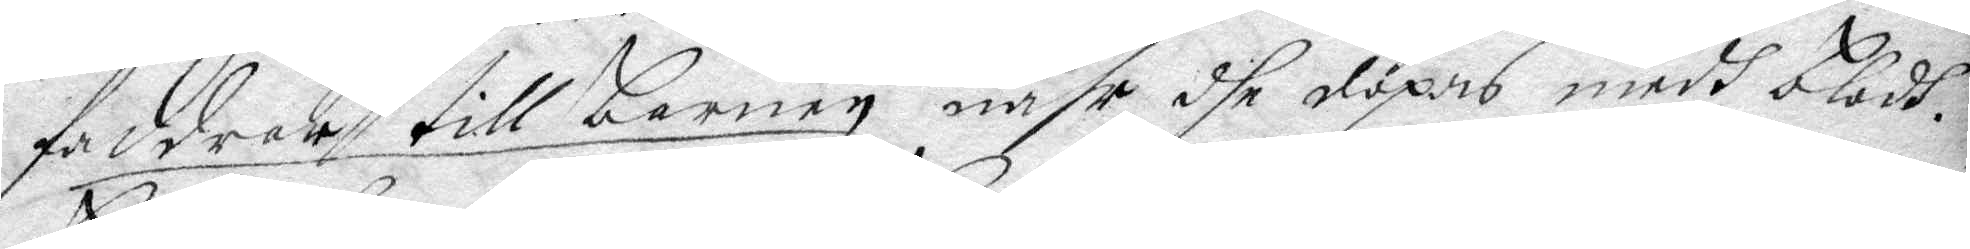faddrar till barnen nähr dhe döpas medh blodh,
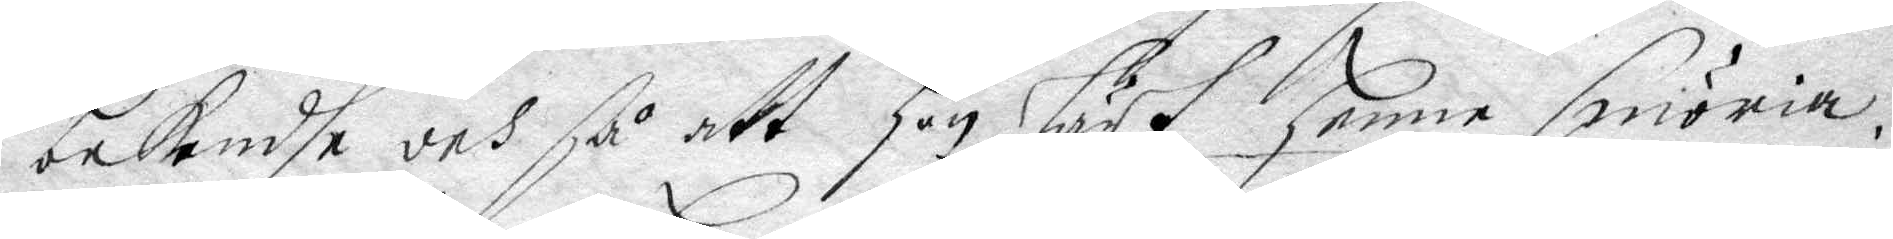bekendhe och så att hon lärt henne smöria,
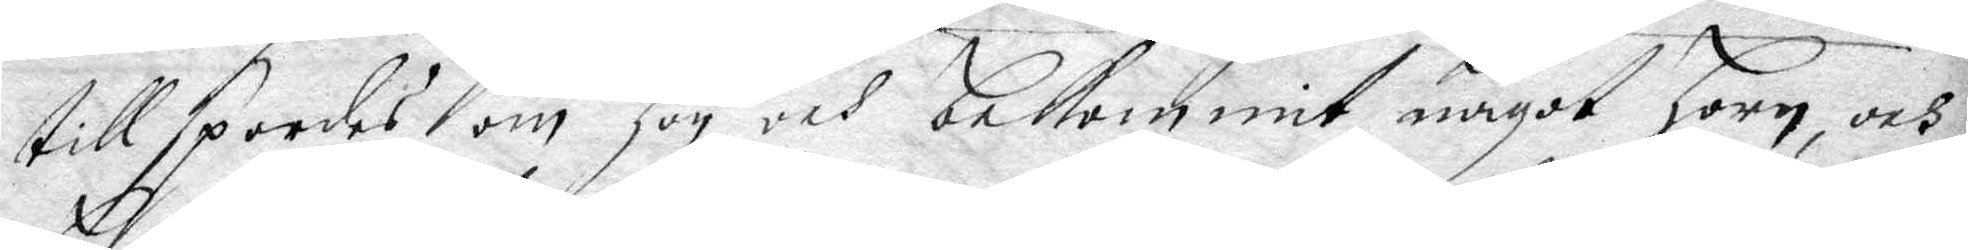tillspordes om hon och bekommit något horn, och
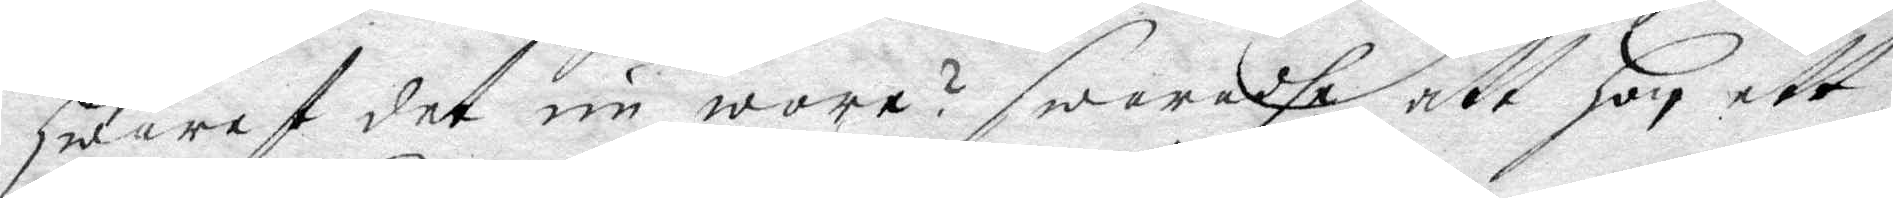hwaraf det nu wore? swaradhe att hon ett
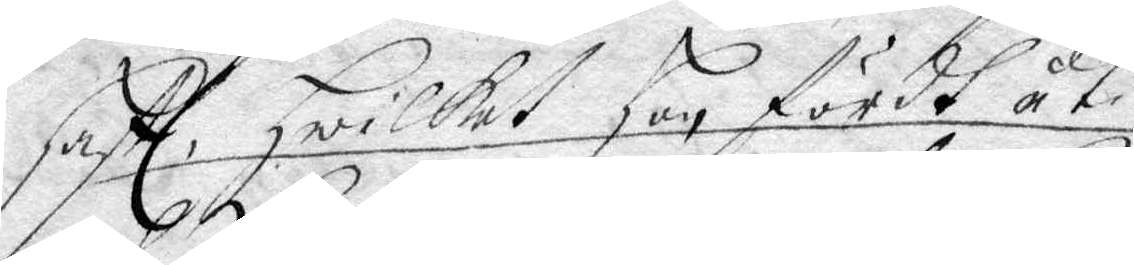haft, Hwilkett hon fördt uti  
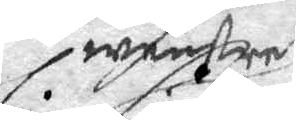wenstre
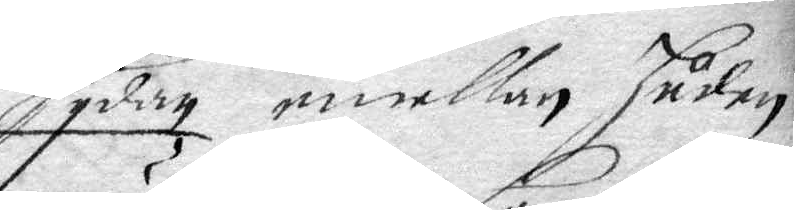sydan emellan huden 
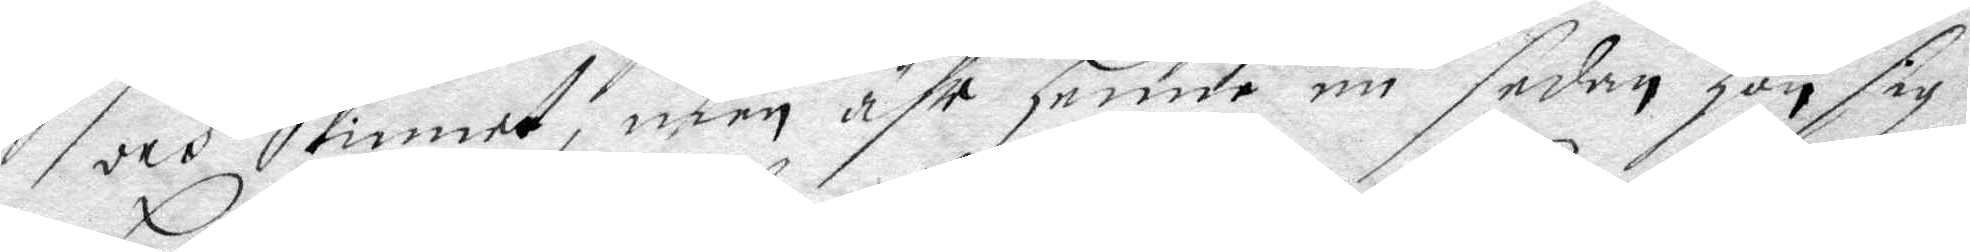och skinnet, men ähr henne nu sedan hon sig
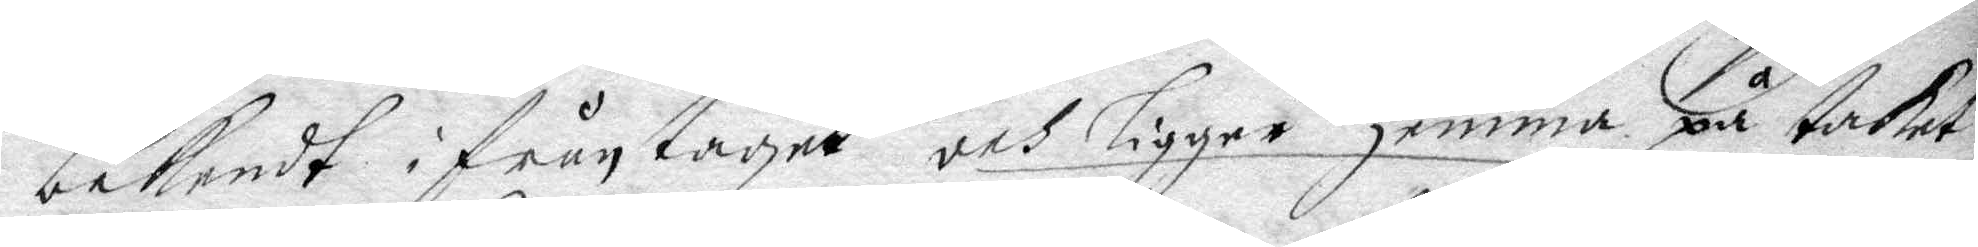bekendt ifrån taget och ligger hemma på taket
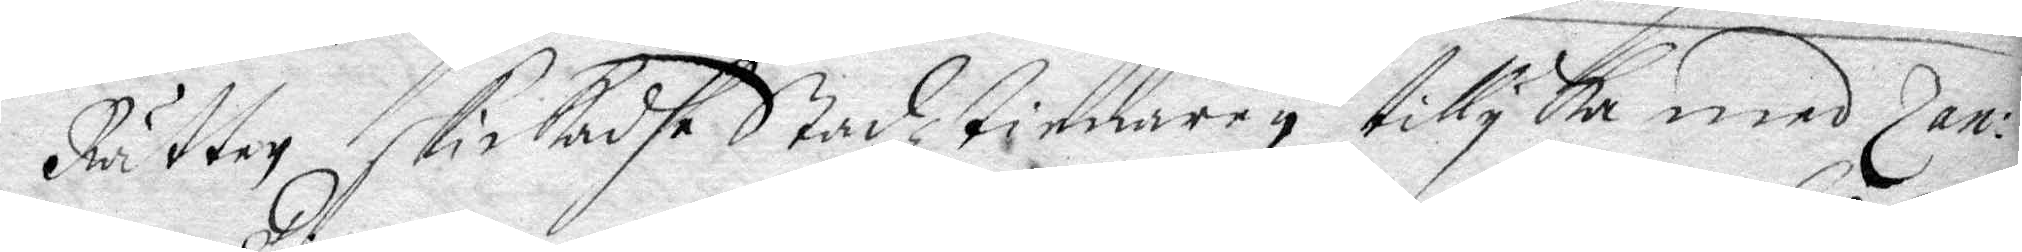Rätten skickadhe Stadztienaren, tillyka med Zan¬
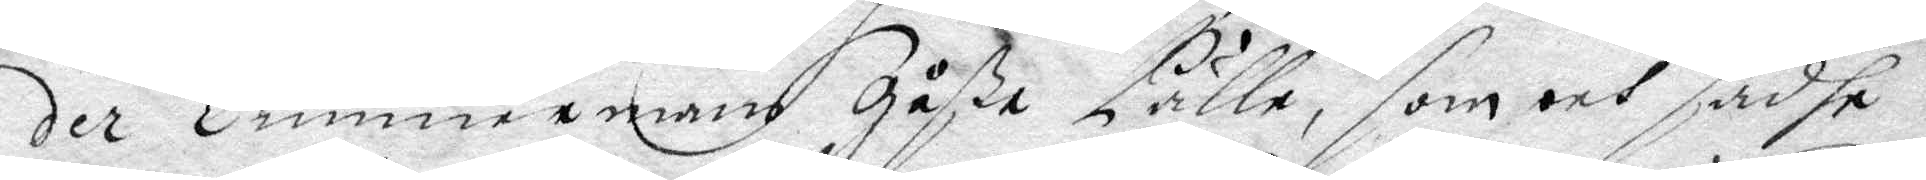der Timmermans gåße Pälle, som och sadhe
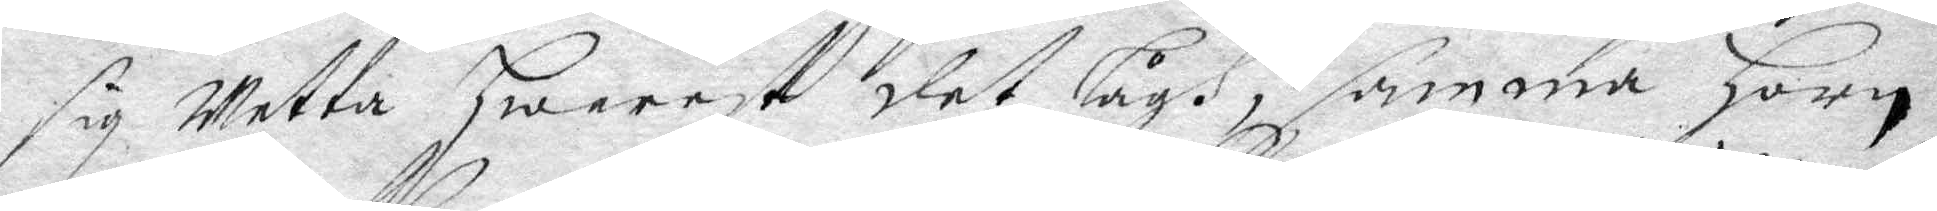sig wetta hwarest det lågh, samma Horn
